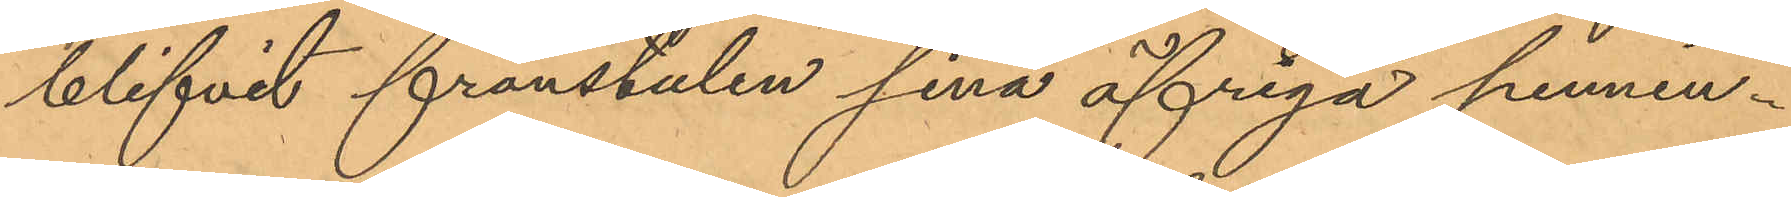blifvit frånstulen sina öfriga pennin¬
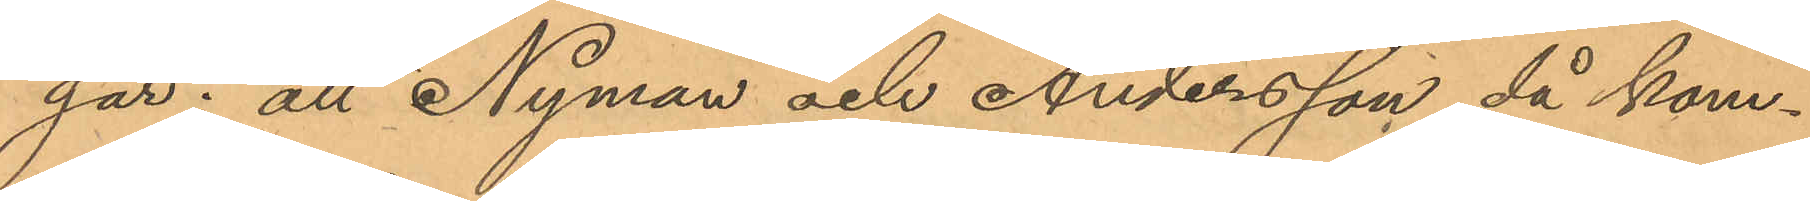gar; att Nyman och Andersson då kom¬
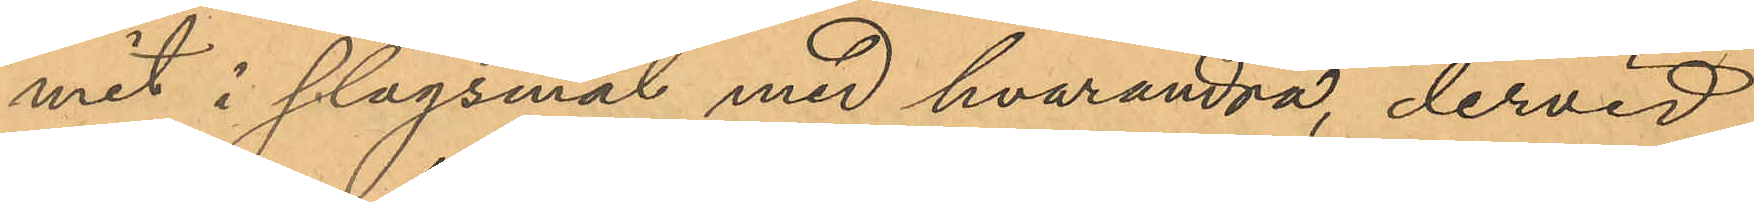mit i slagsmål med hvarandra, dervid
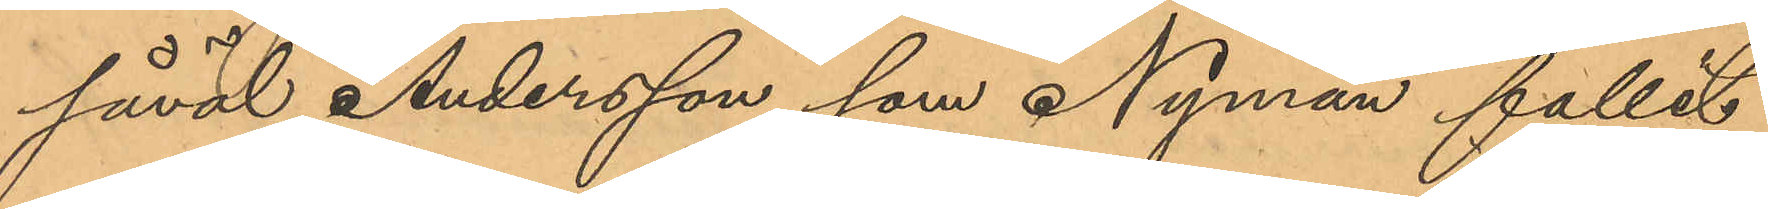såväl Andersson som Nyman fallit
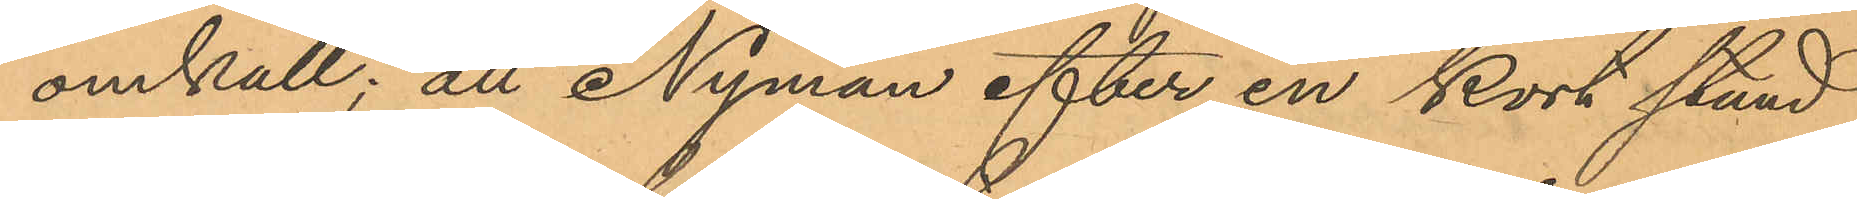omkull; att Nyman efter en kort stund
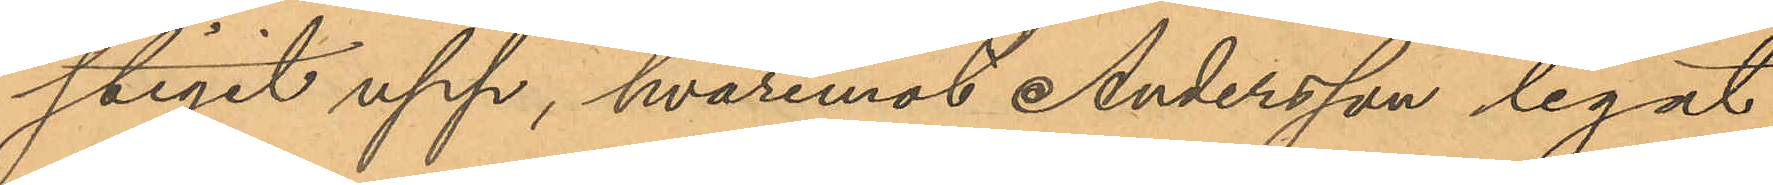stigit upp, hvaremot Andersson legat
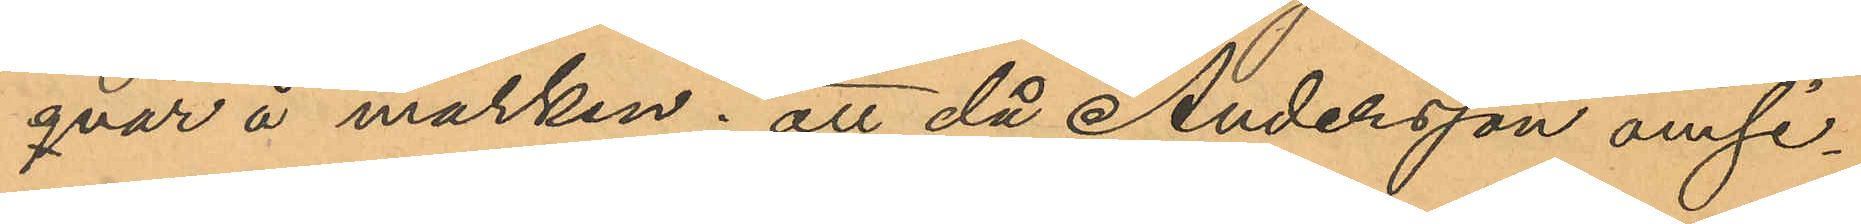qvar å marken; att då Andersson omsi¬
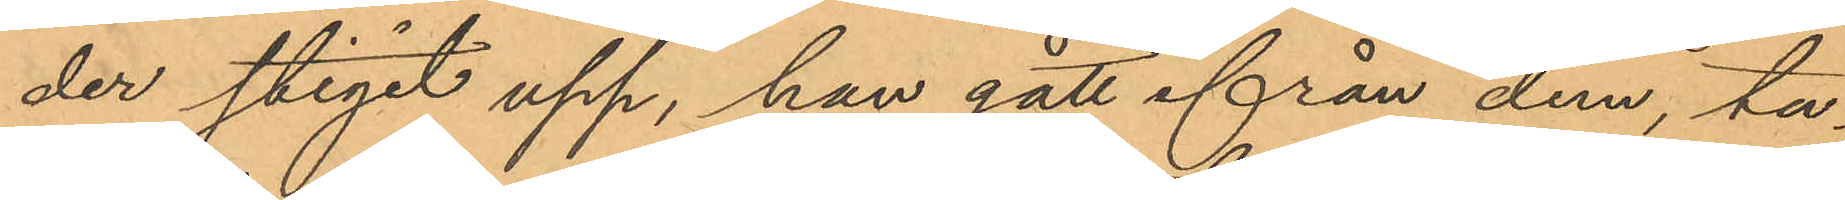der stigit upp, han gått ifrån dem, ta¬
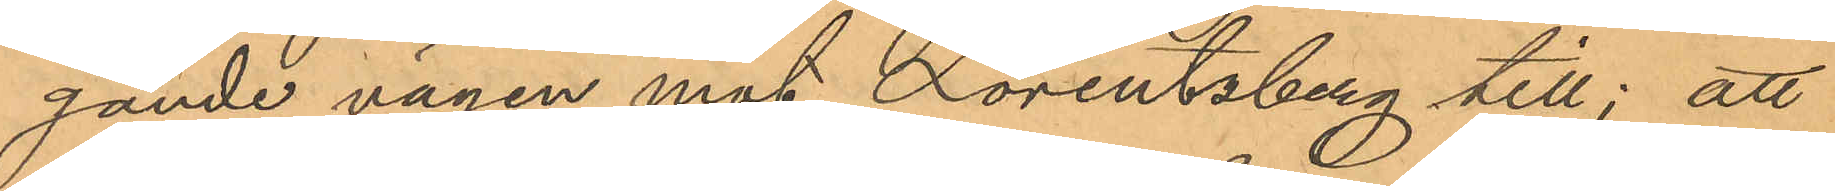gande vägen mot Lorentzberg till; att
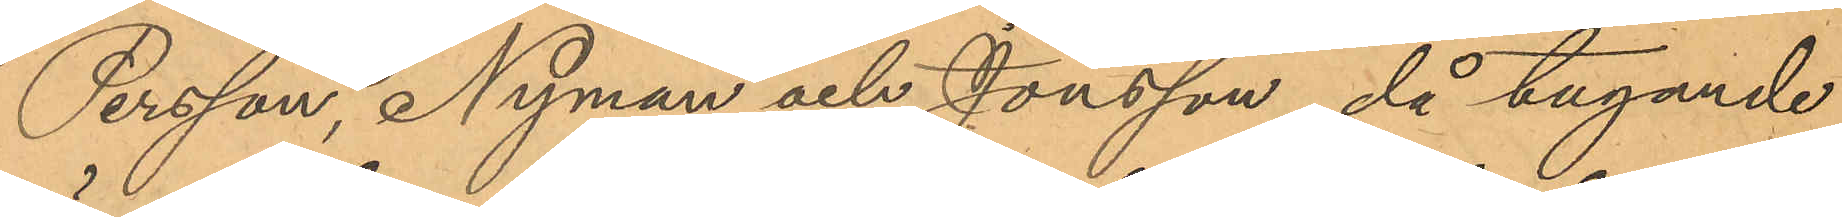Persson, Nyman och Jonsson då tagande
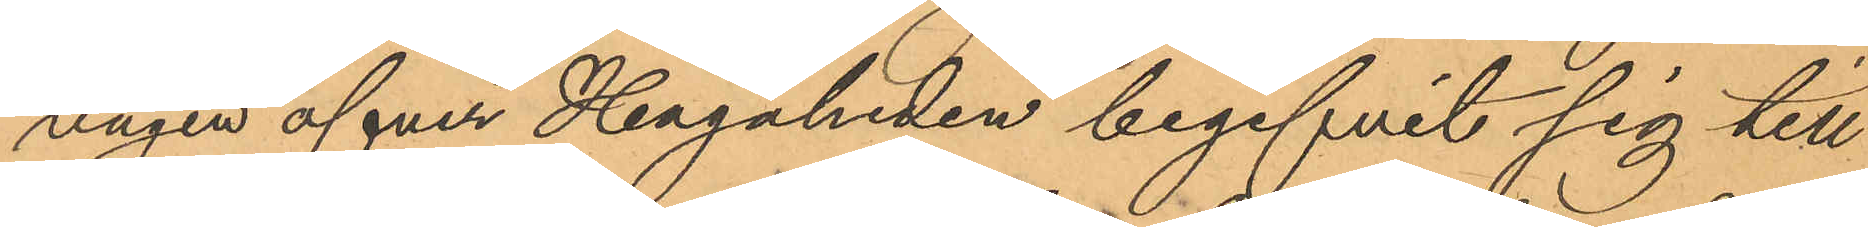vägen öfver Hagaheden begifvit sig till
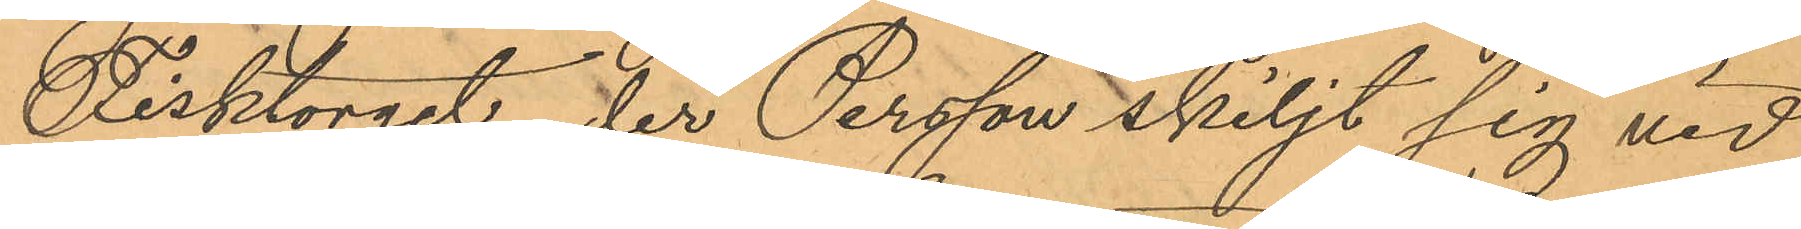Fisktorget, der Persson skiljt sig vid
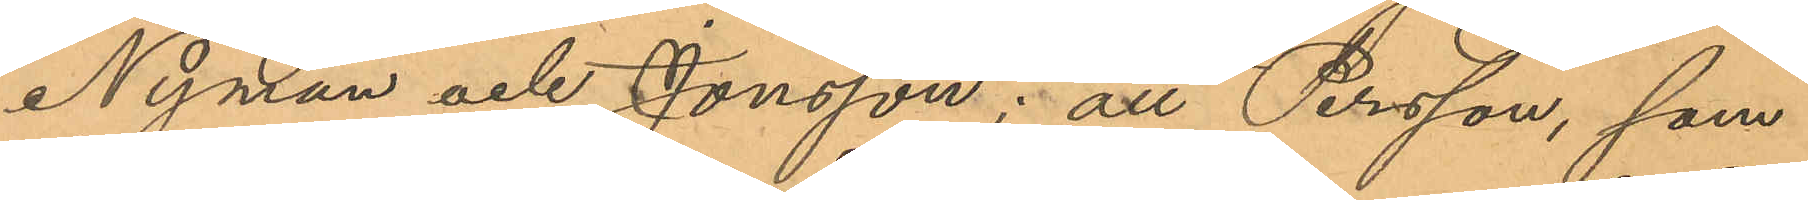Nyman och Jonsson; att Persson, som
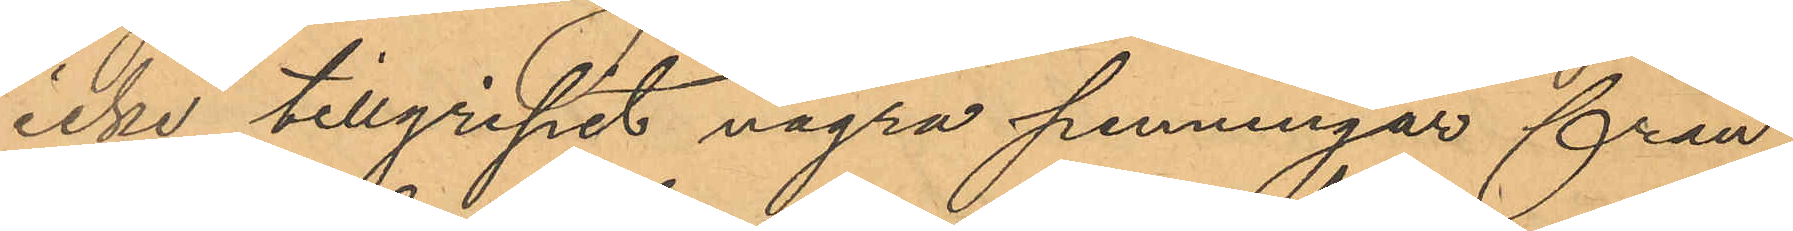icke tillgripit några penningar från
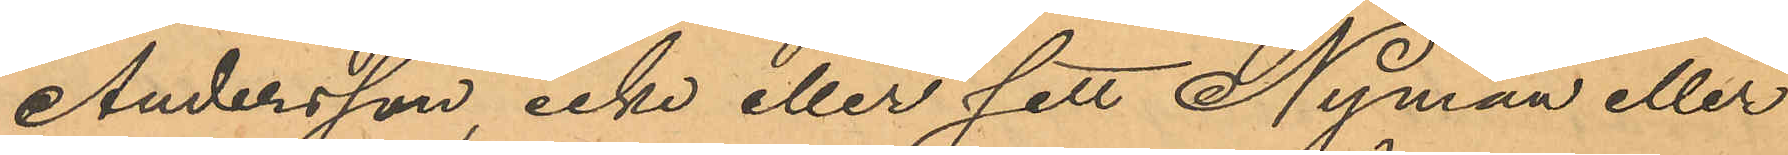Andersson icke eller sett Nyman eller
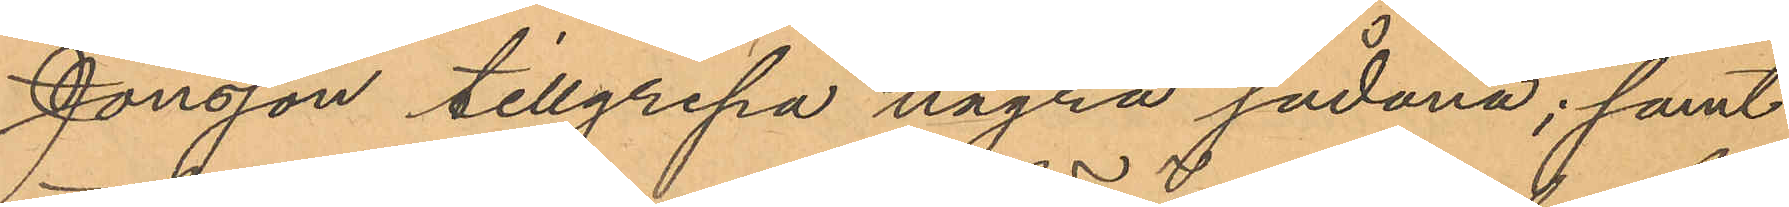Jonsson tillgripa några sådana; samt
